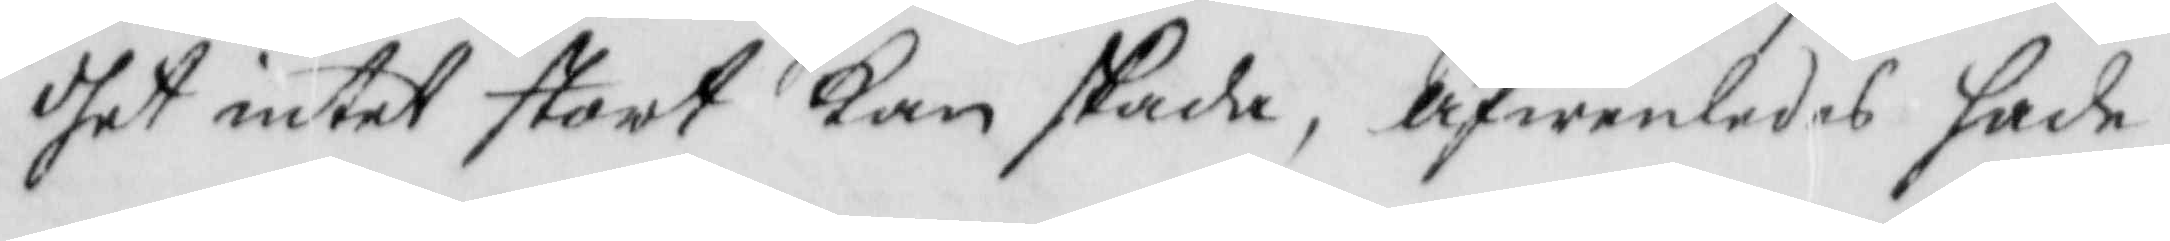dhet intet stort kan skada, äfwenledes hade
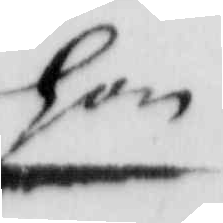hon
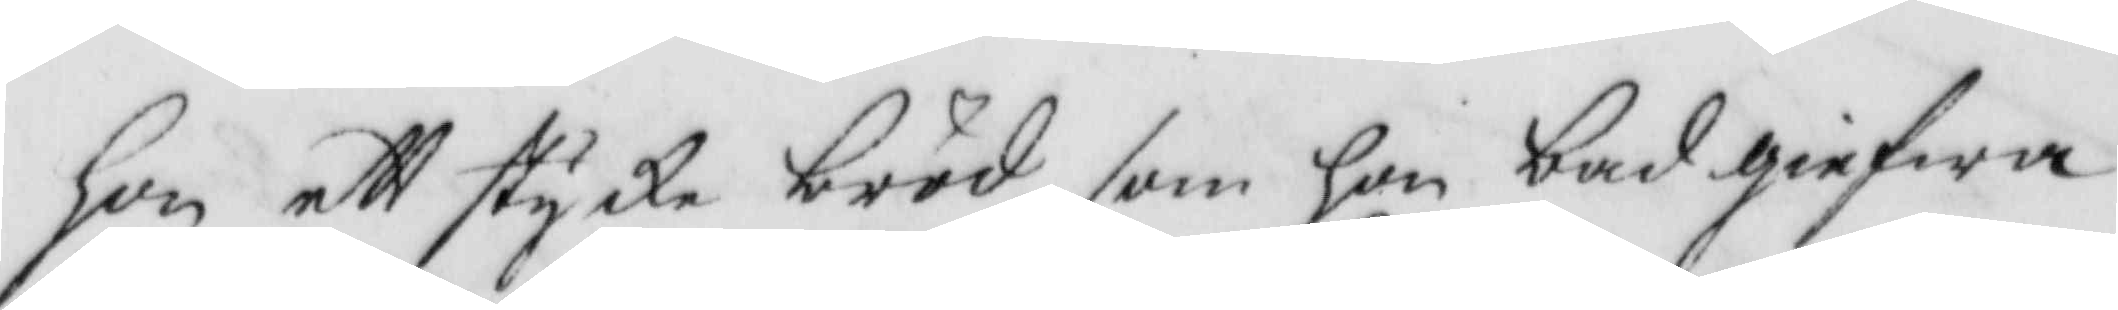hon ett stycke bröd som hon bad gifwa
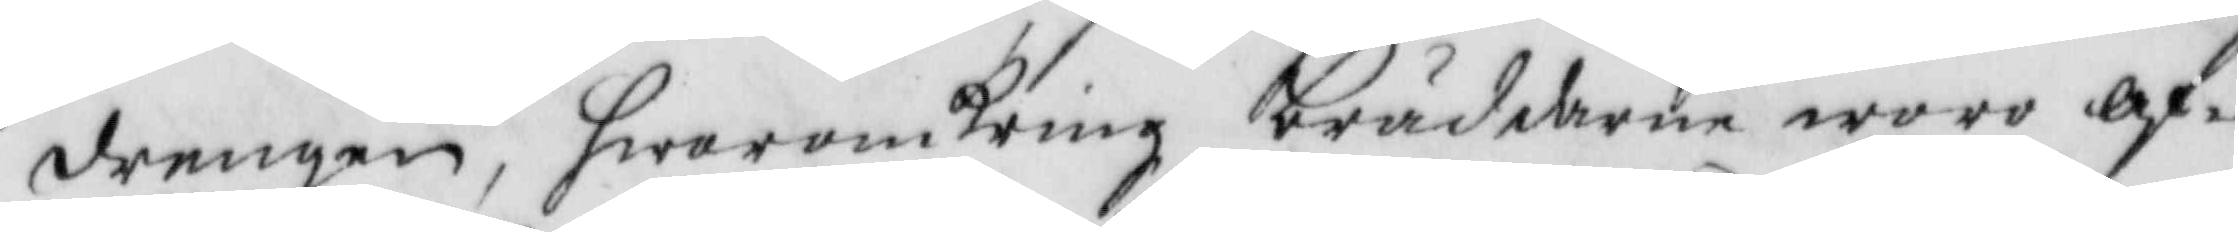drengen, hwaromkring bräddarne woro af¬
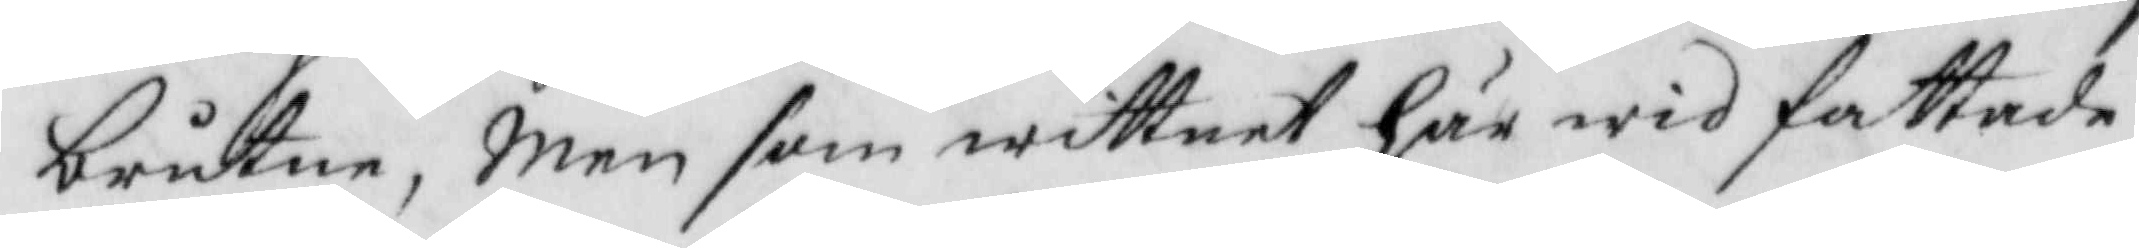brutne, Men som wittnet här wid fattade
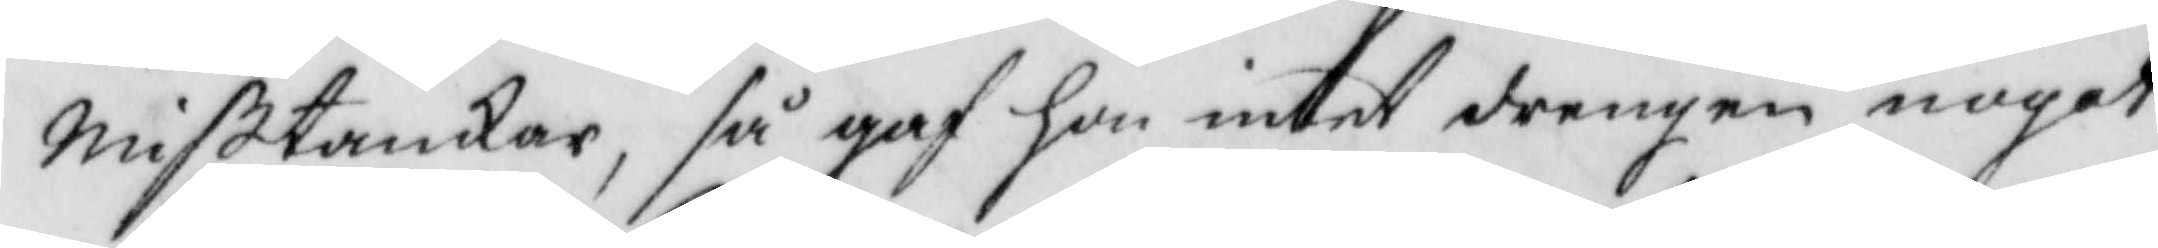Mißtankar, så gaf hon intet drengen noget
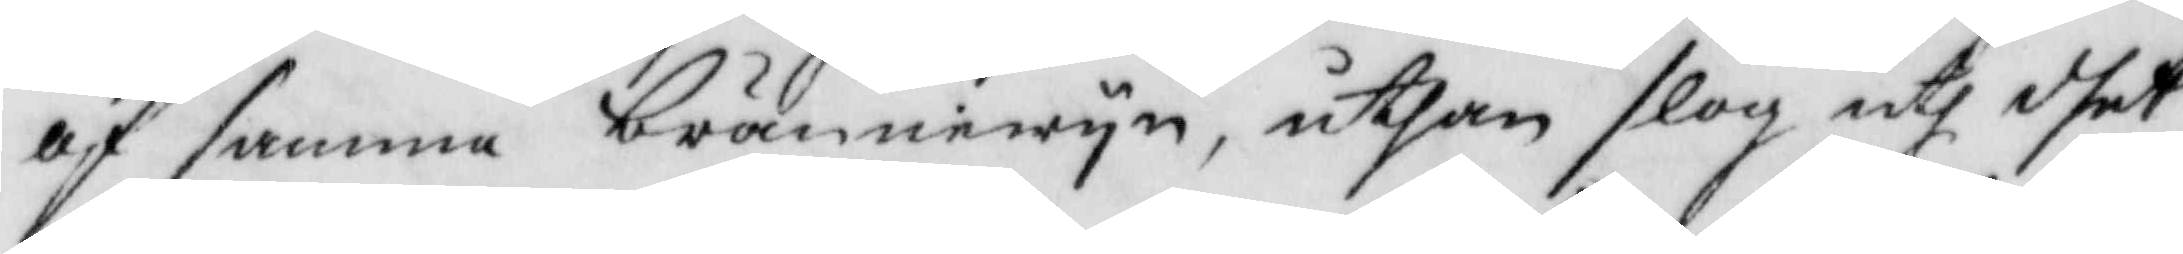af samma brännewyn, uthan slog uth dhet
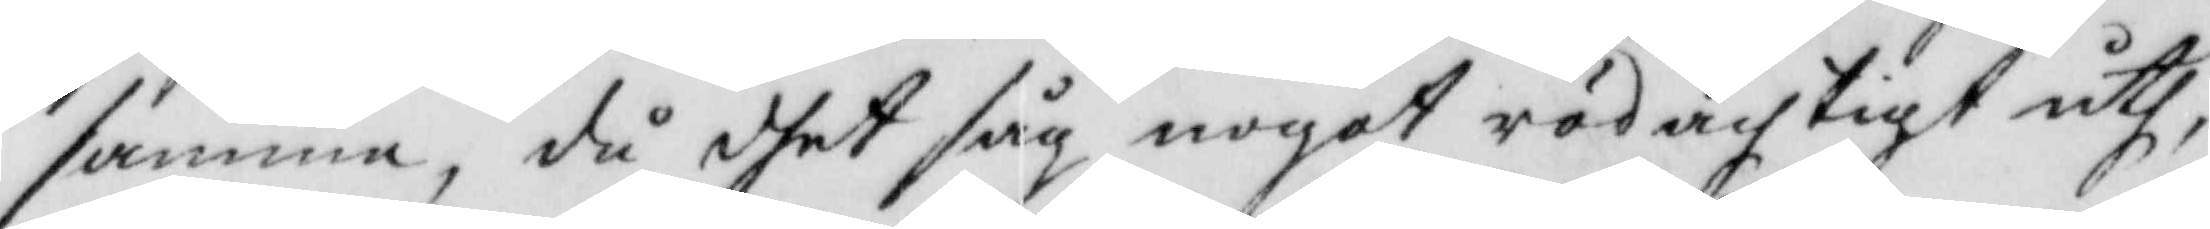samma, då dhet såh nogot rödachtigt uth,
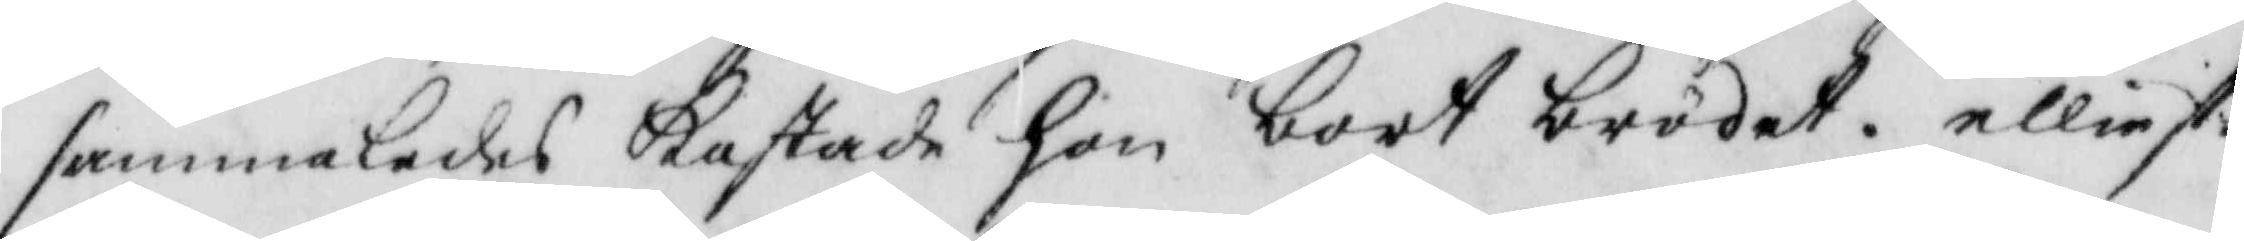sammaledes kastade hon bort brödet, elliest
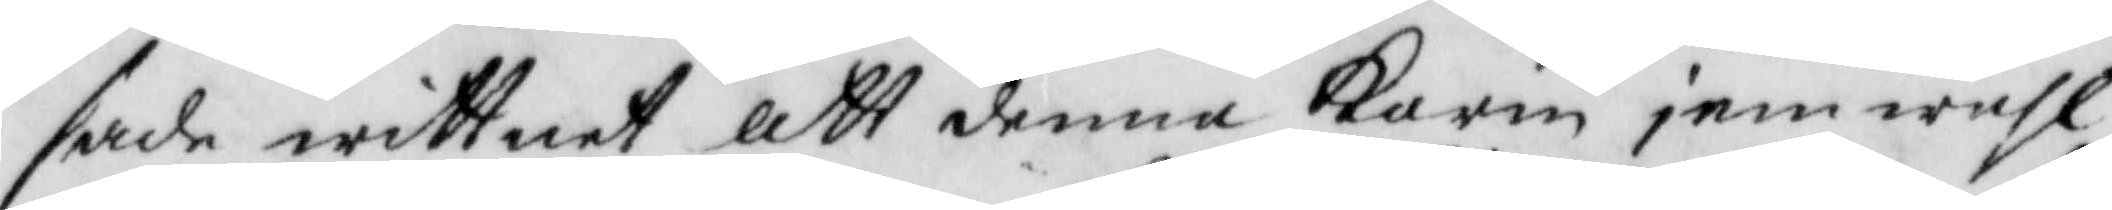sade wittnet att denna Karin jemwähl
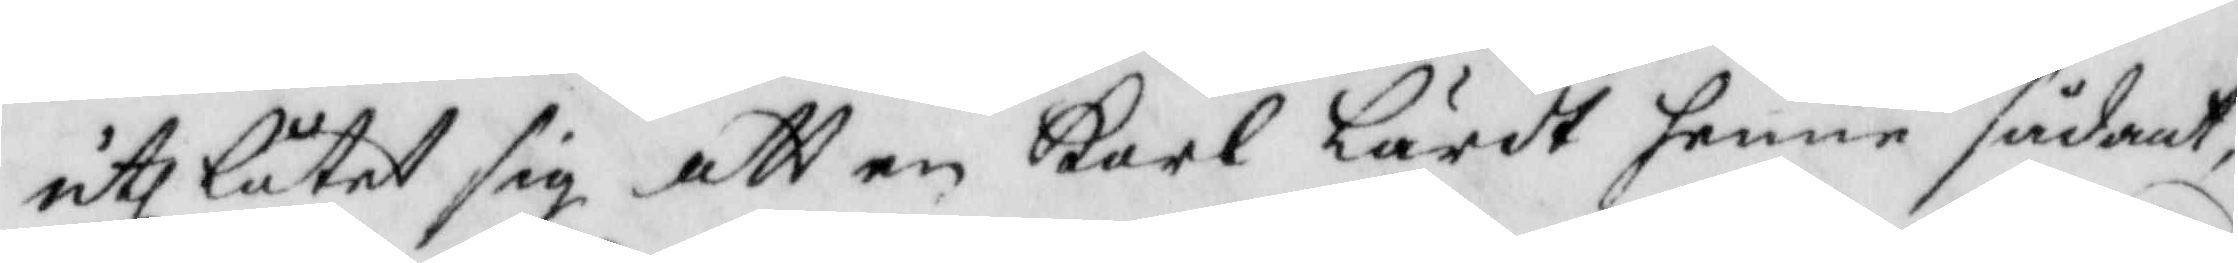uthlåtit sig att en Karl lärdt henne sådant,
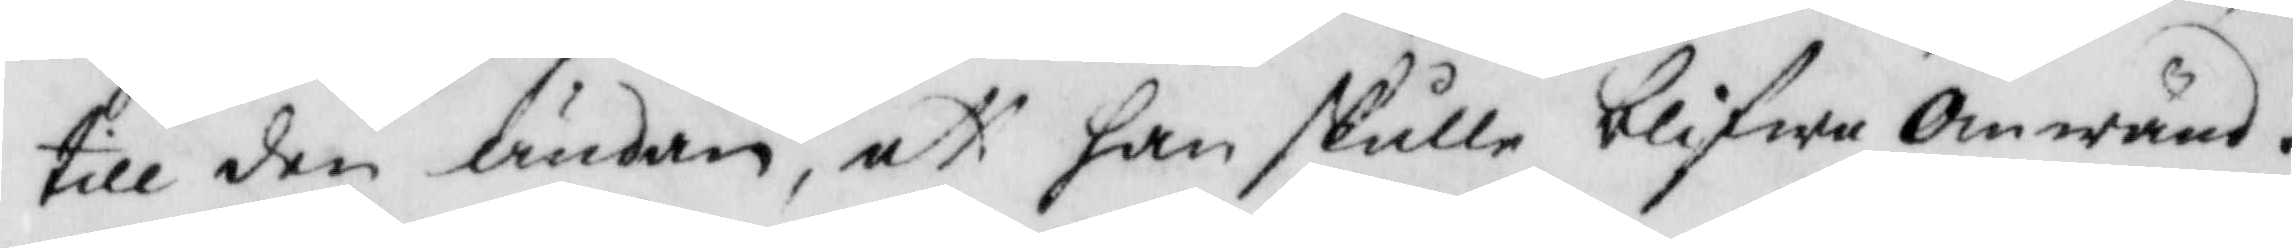till den ändan, att han skulle blifwa omwänd.
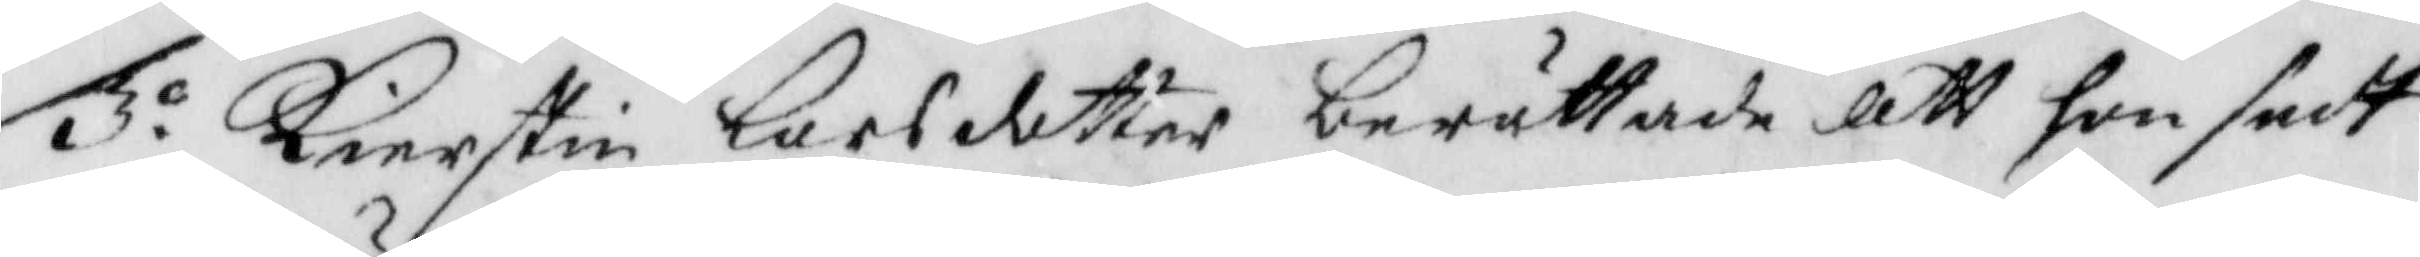3o Kierstin lars dotter berätade att hon sedt
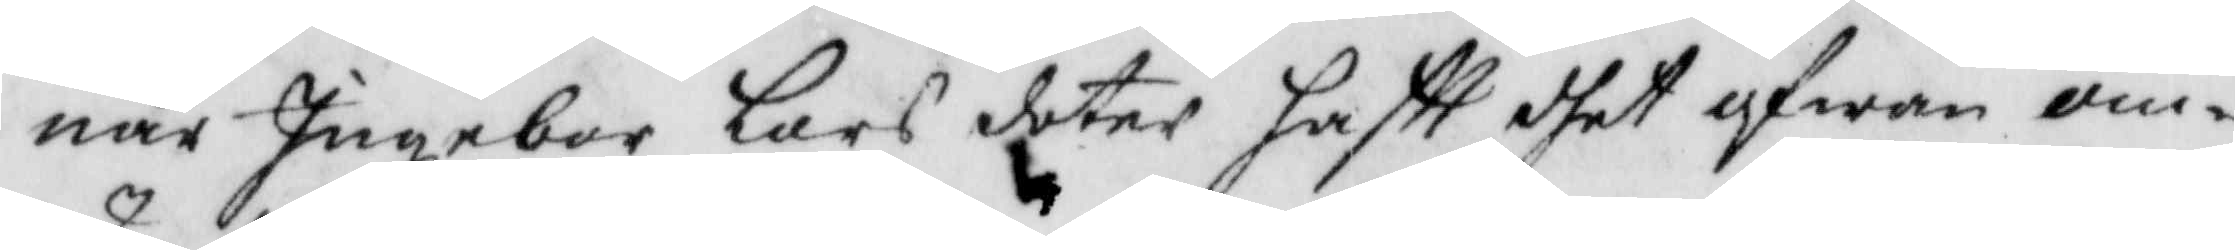när Ingebor lars dotter haftt dhet ofwan om¬
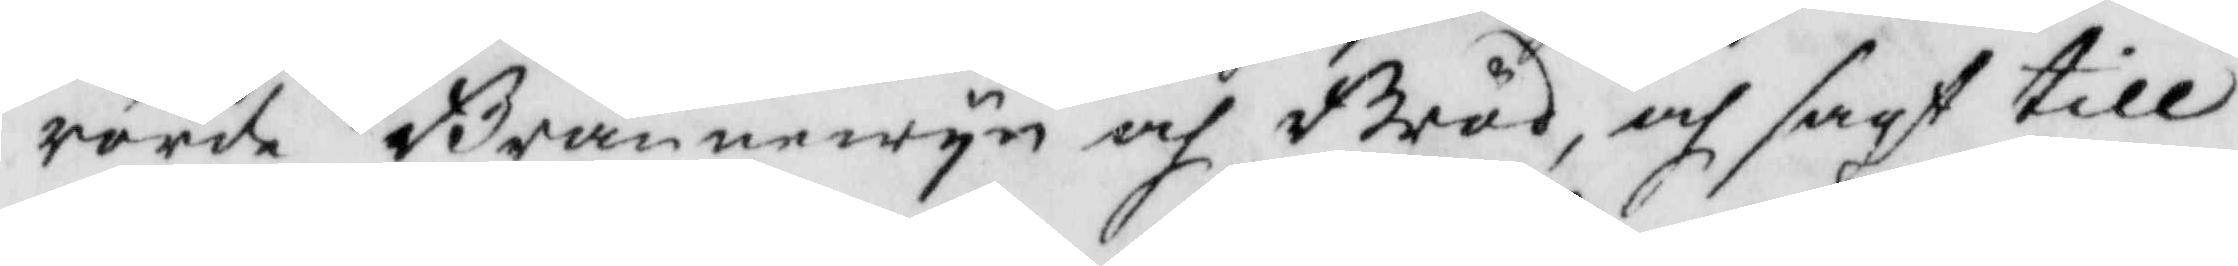rörde Brännewyn och Bröd, och sagt till
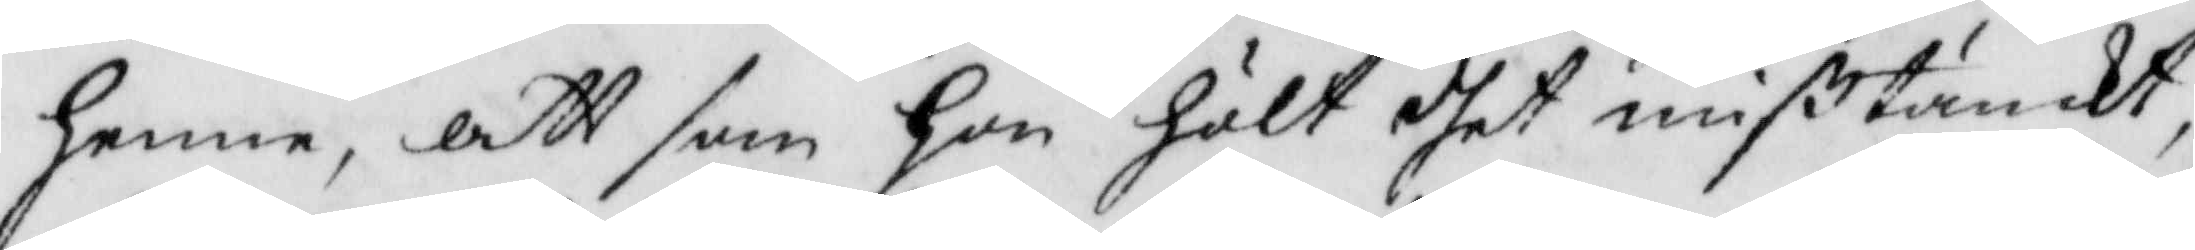henne, att som hon hölt dhet mißtänkt
